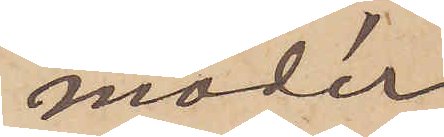moder
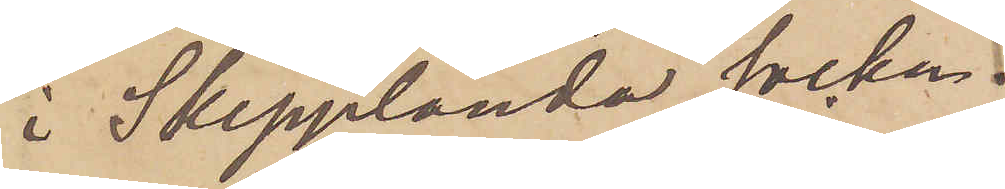i Skepplanda socken.
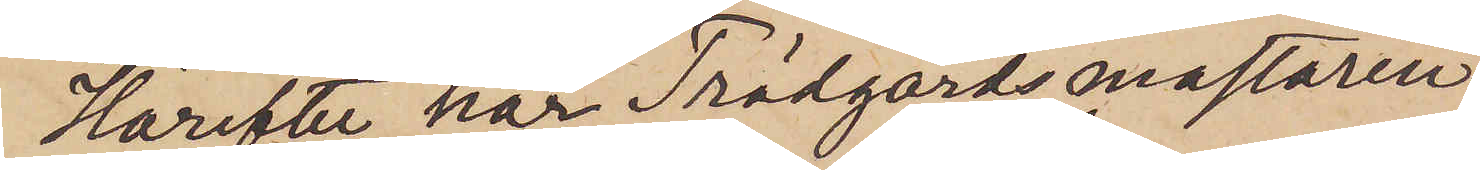Härefter har Trädgårdsmästaren
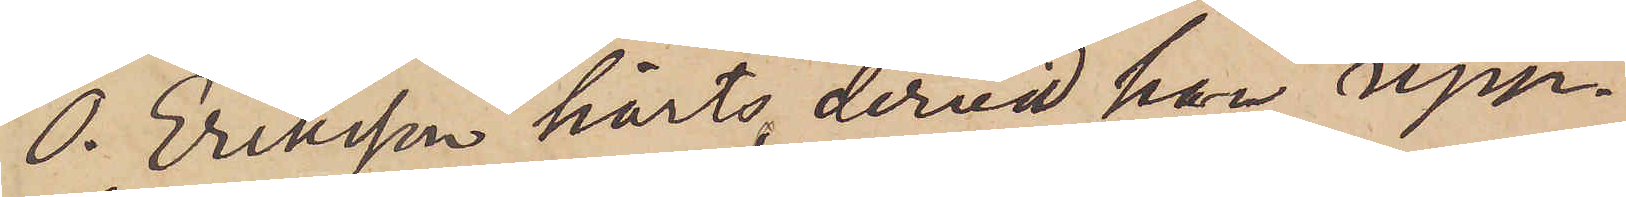O. Eriksson hörts, dervid han upp¬
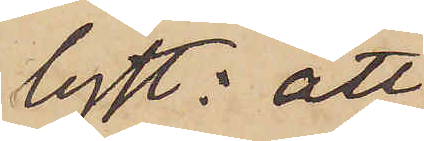lyst: att
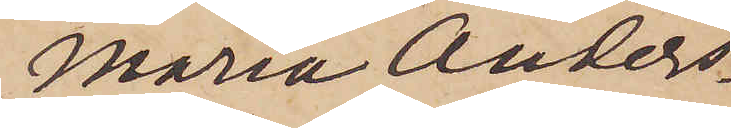Maria Anders¬
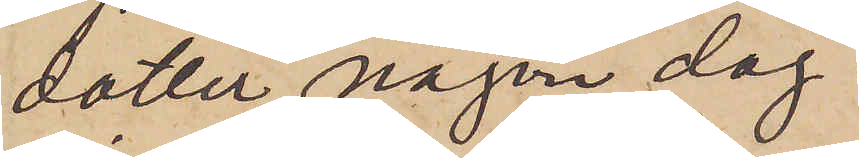dotter någon dag
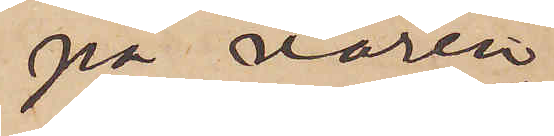på våren
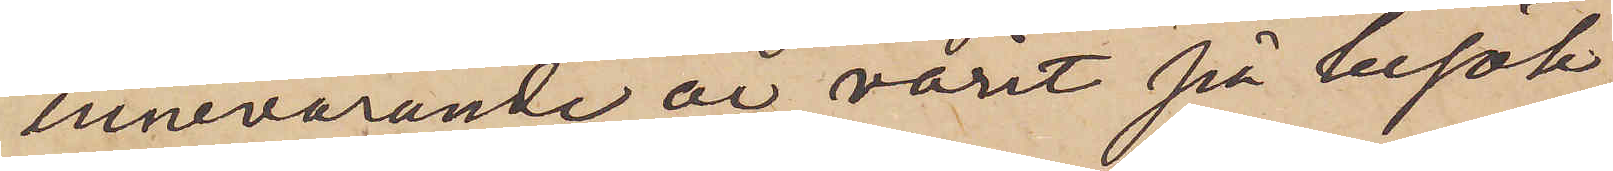innevarande år varit på besök
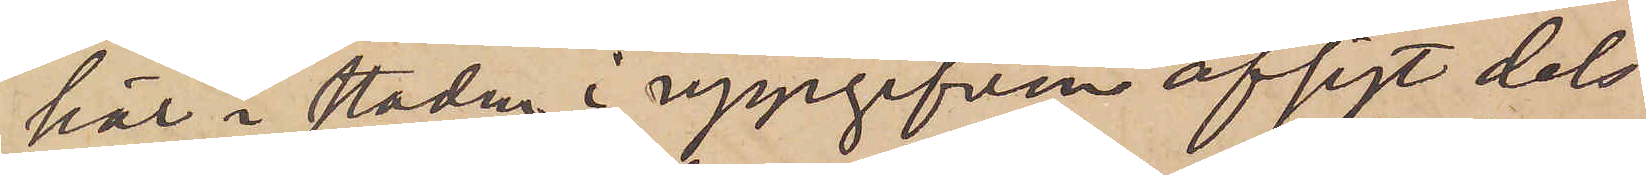här i staden i uppgifven afsigt dels
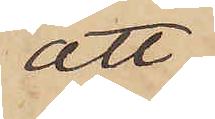att
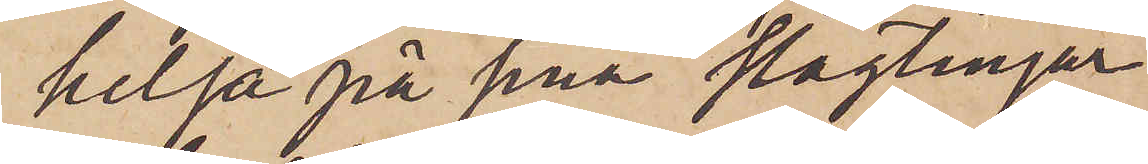helsa på sina släktingar
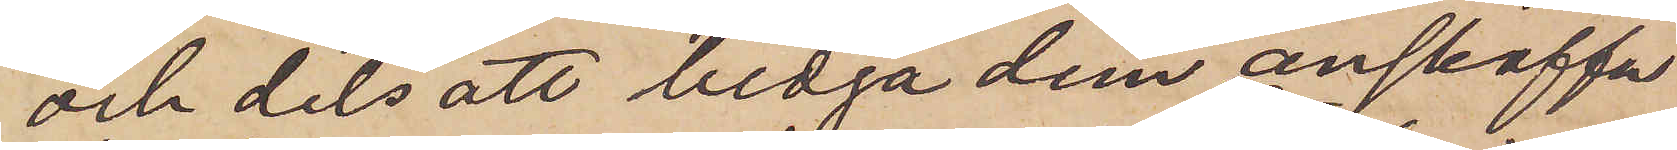och dels att bedja dem anskaffa
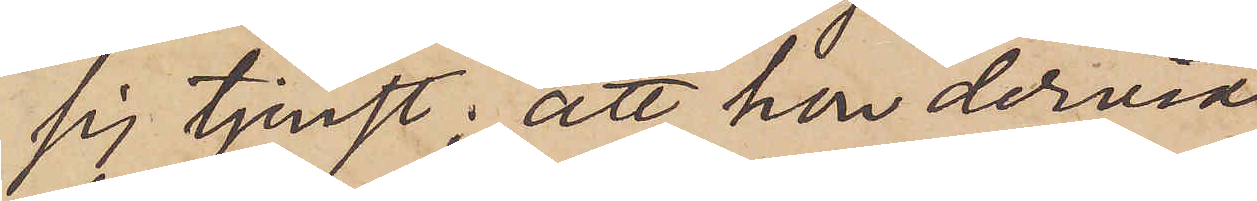sig tjenst; att hon dervid
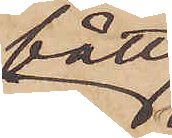fått
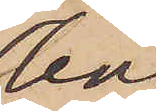bo
